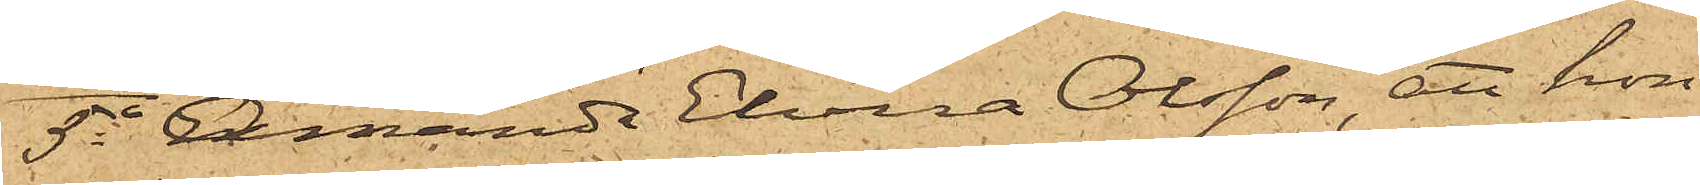5o Amanda Elvira Olsson, att hon
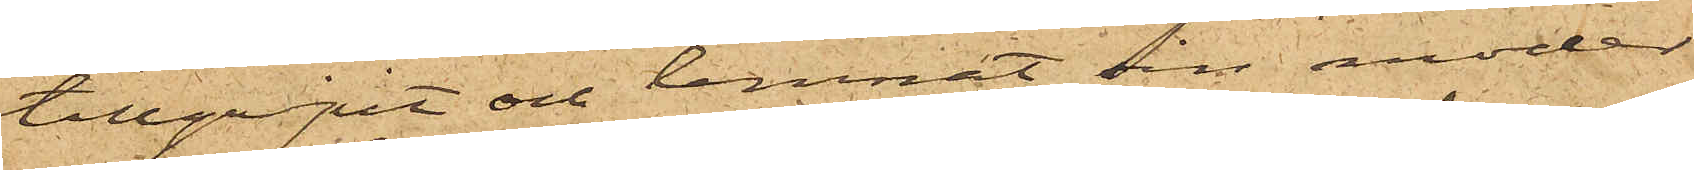tillgripit och lemnat sin moder
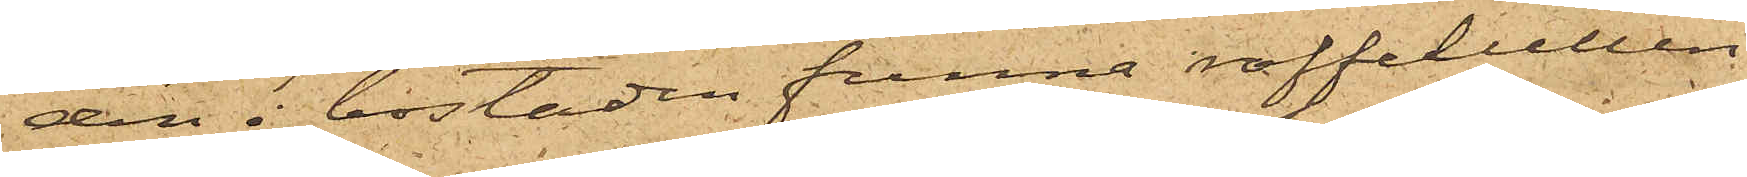den i bostaden funna raffelullen
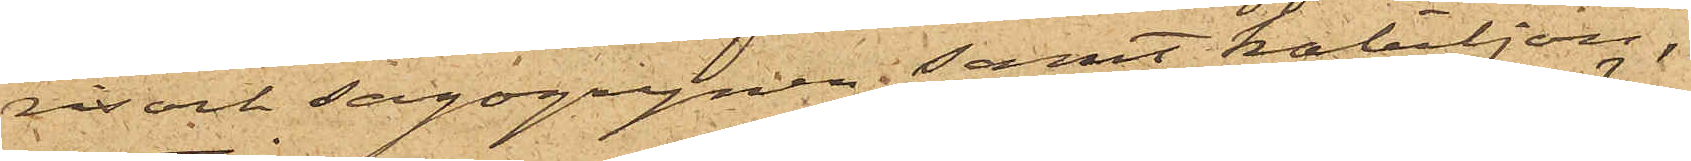ris och sagogrynen samt kabiljon,
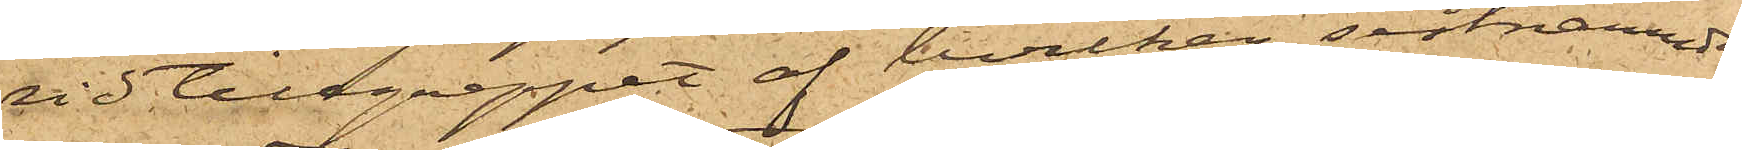vid tillgreppet af hvilken sistnämnde
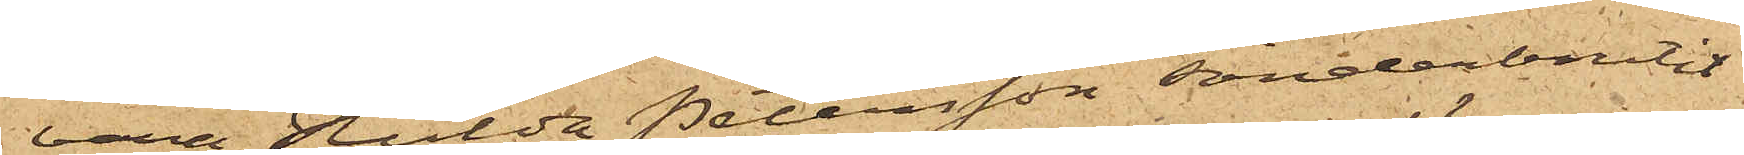bara Hulda Petersson sönderbrutit
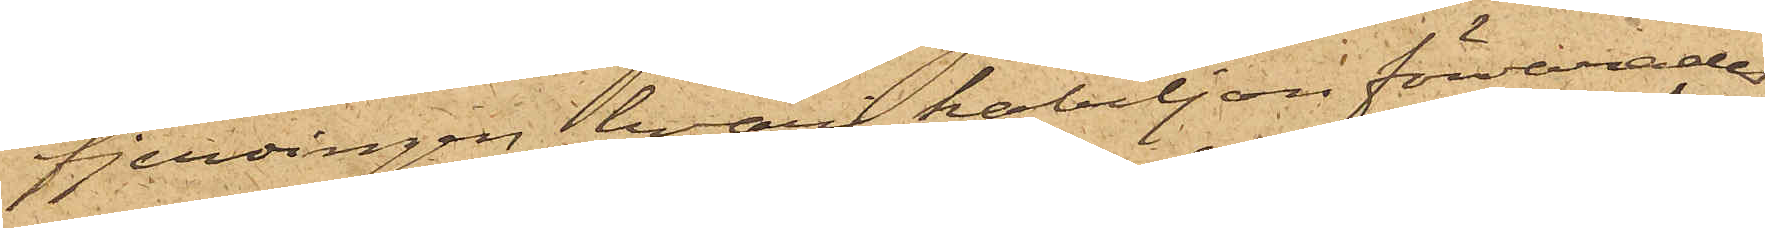fjerdingen, hvari kabiljon förvarades;
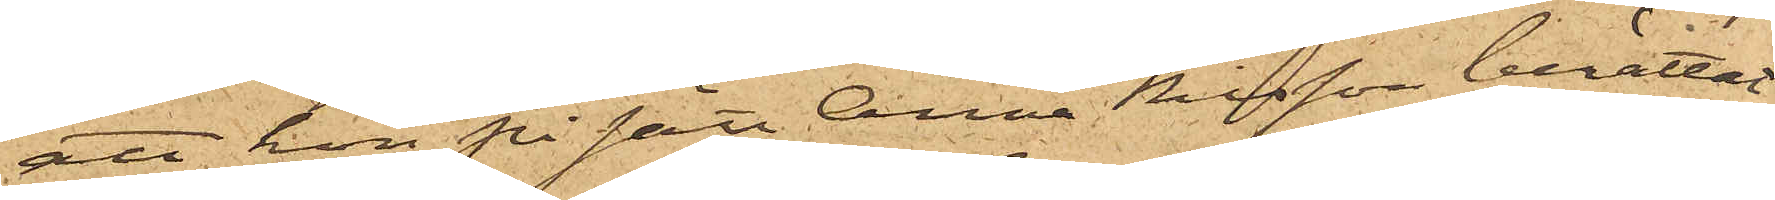att hon på sätt Anna Nilsson berättat
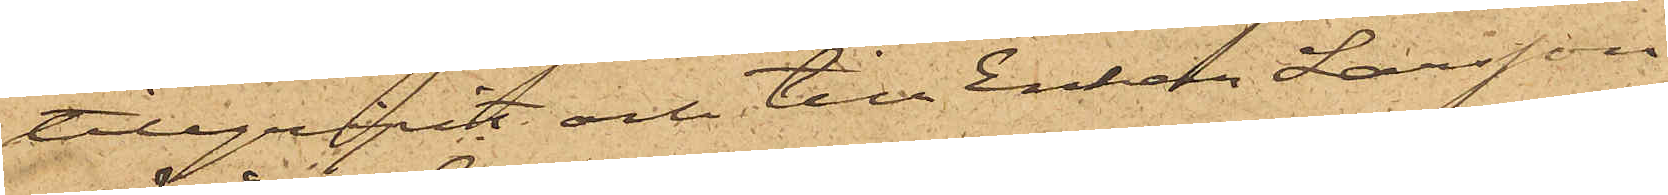tillgripit och till Enkan Larsson
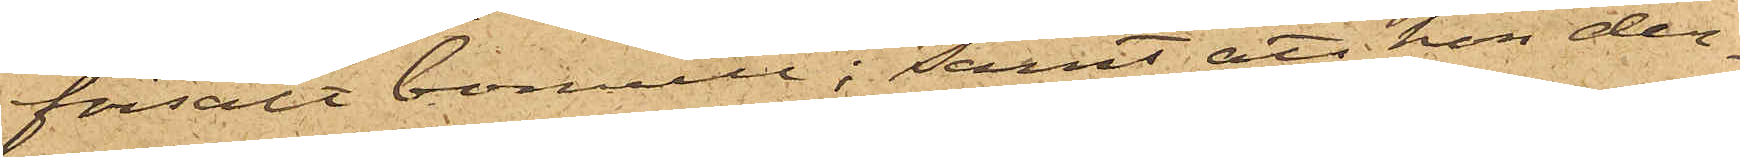försålt bomull; samt att hon der¬
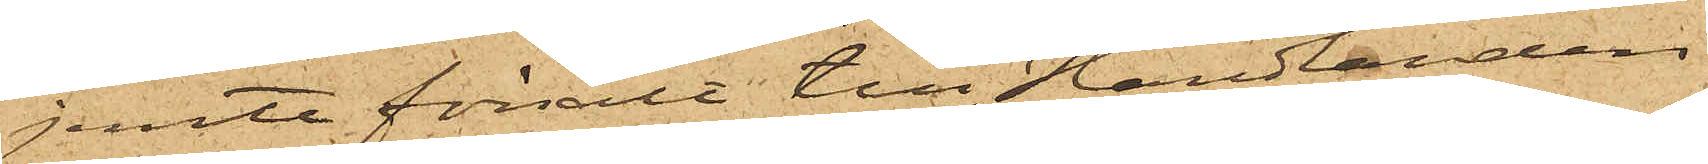jemte försålt till Handlanden
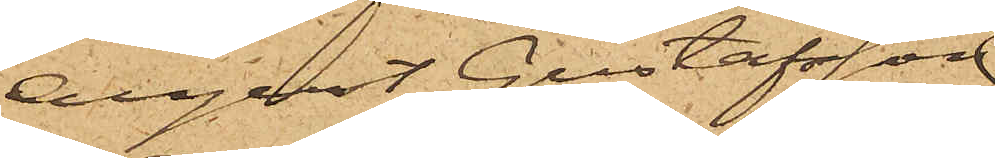August Gustafsson
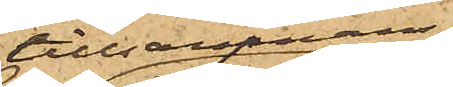tillsammans
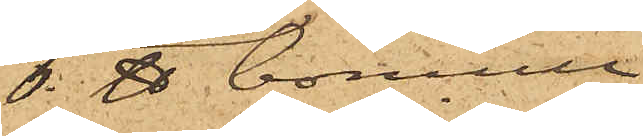6 ℔ bomull
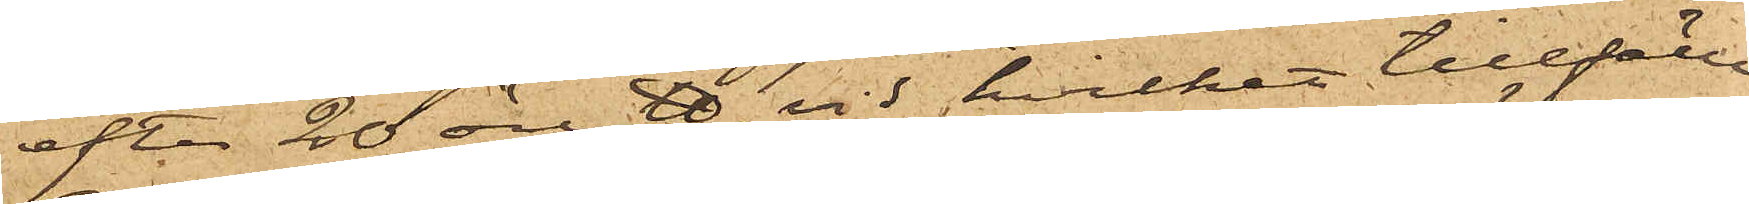efter 20 öre ℔, vid hvilket tillfälle
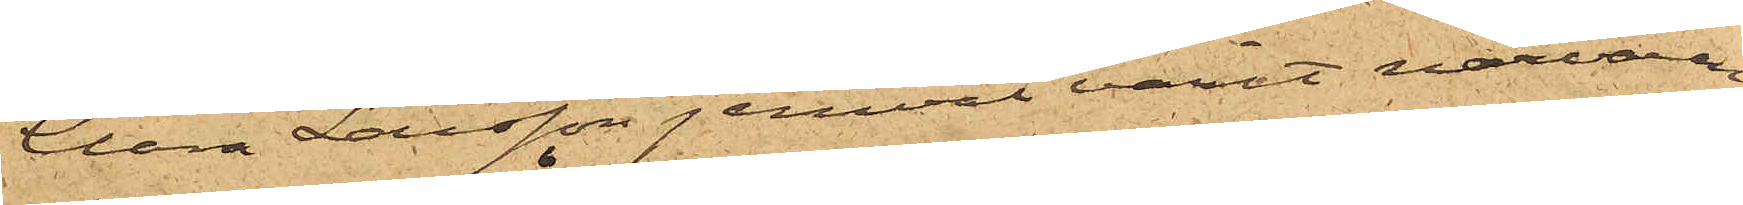Anna Larsson jemväl varit närvaran¬
